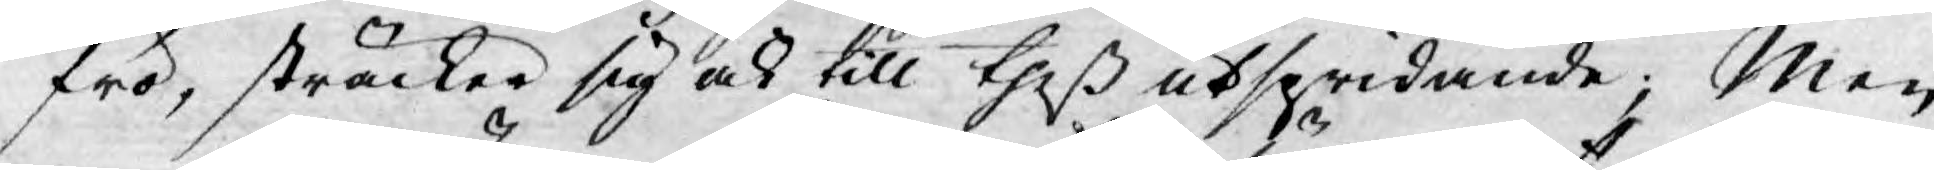frö, sträcker sig och till theß utspridande; Men
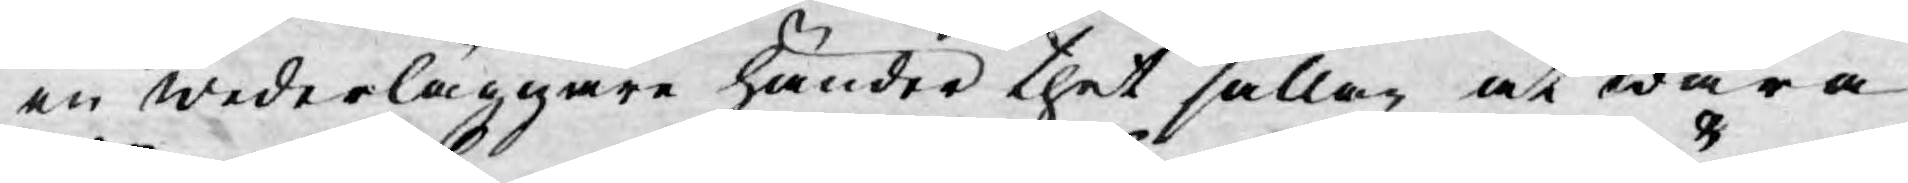en wederläggare händer thet sällan at wara
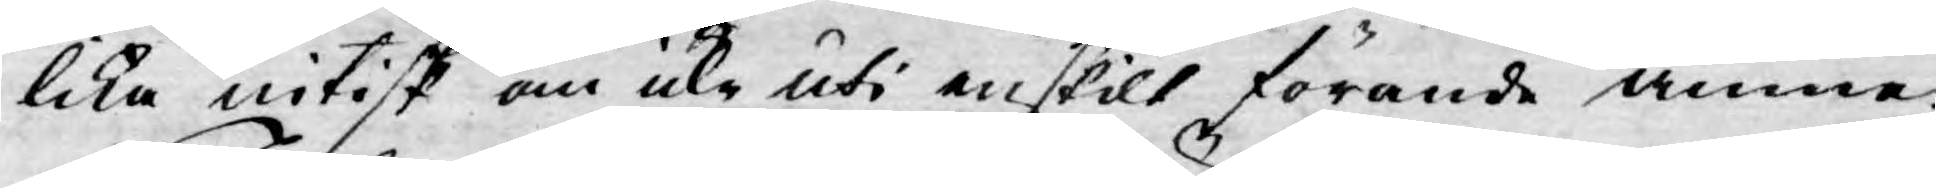lika nitisk om icke uti enskilt förande ämne.
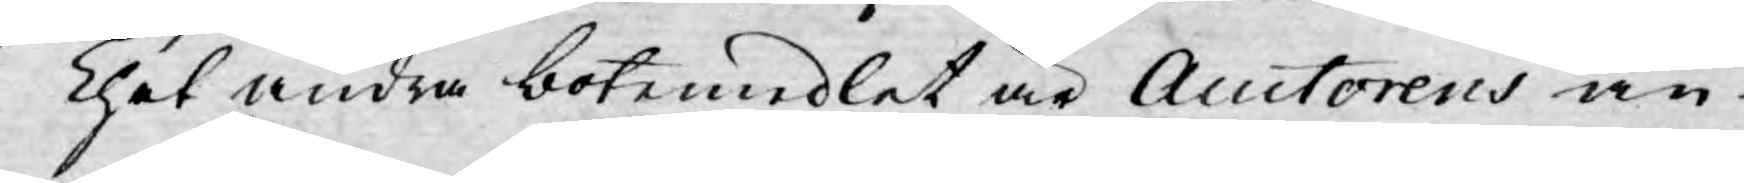Thet andra botemedlet är Auctorens an¬
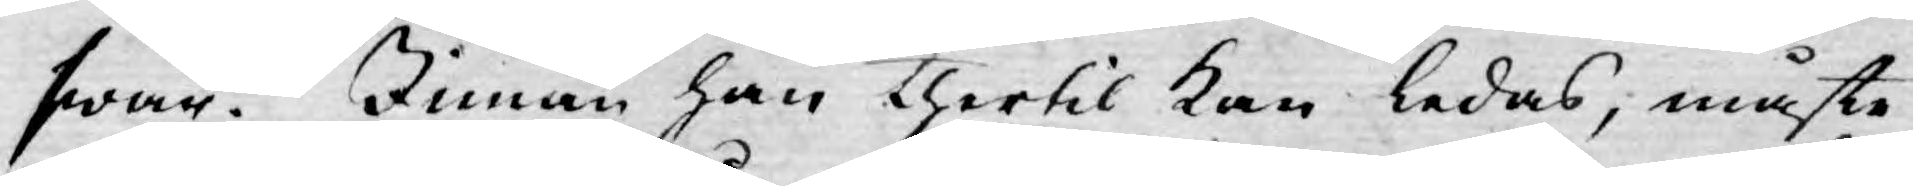swar. Innan han thertil kan ledas, måste
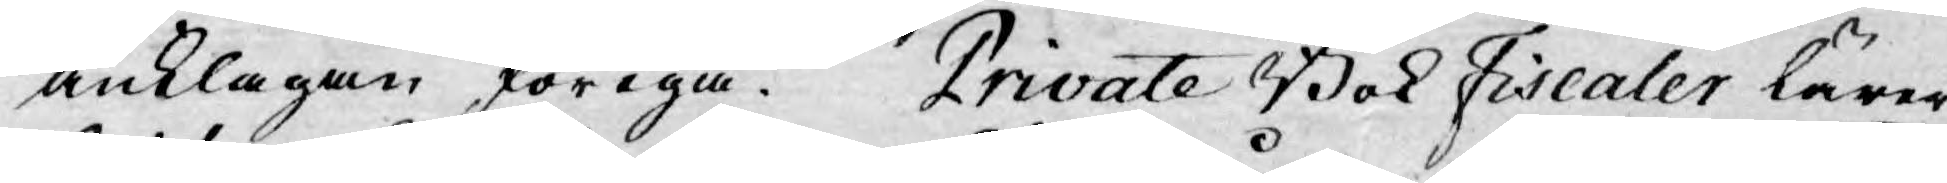anklagan föregå. Private Bok Fiscaler lärer
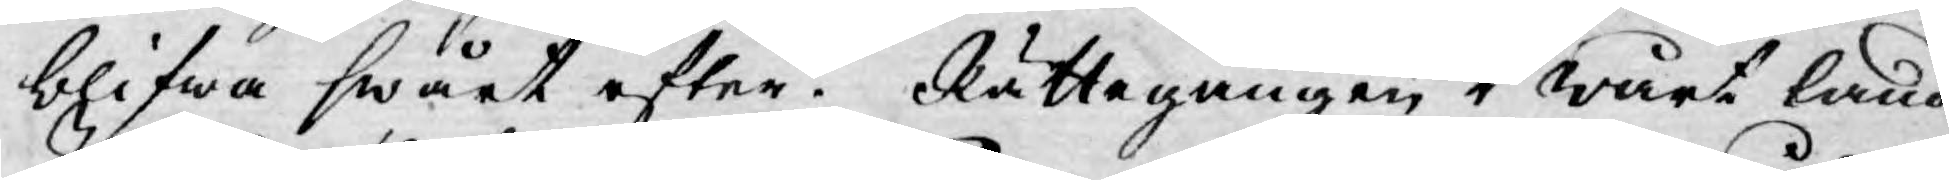blifwa swårt efter. Rättegången i wårt land
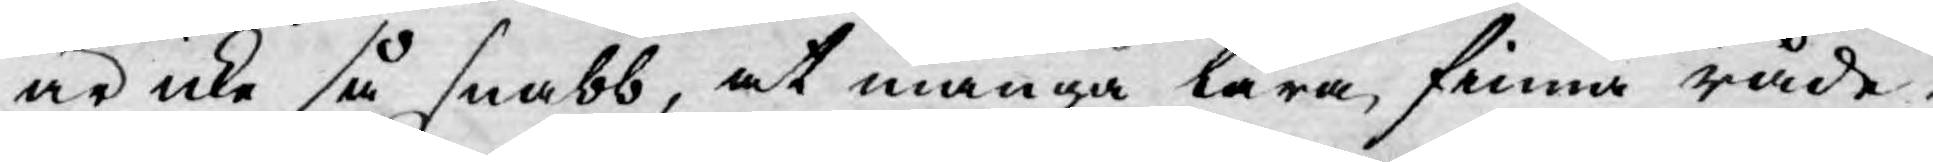är icke så snabb, at många lära finna råde¬
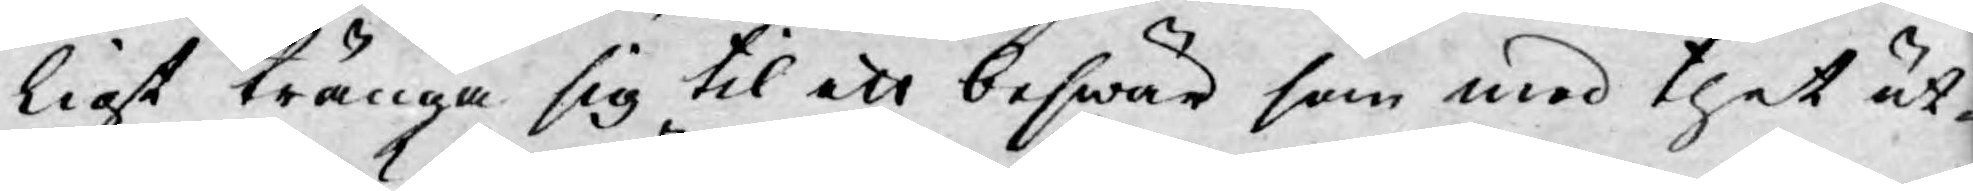ligt tränga sig til ett beswär som med thet ut¬
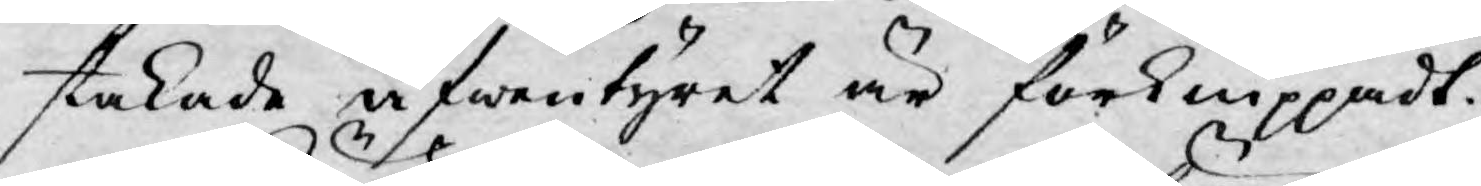stakade äfwentyret är förknippadt.
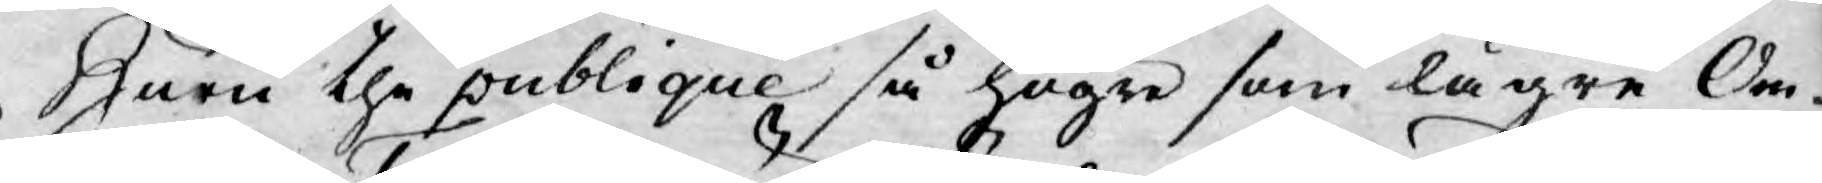Huru the publique så högre som lägre Om¬
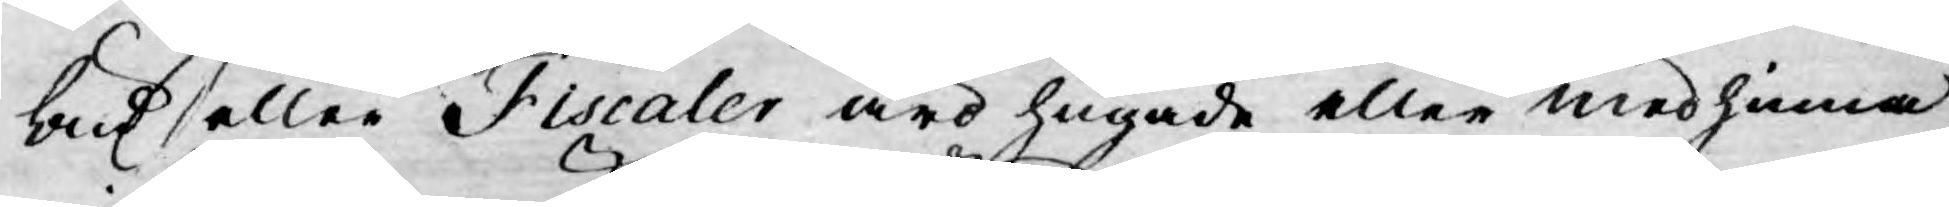bud eller Fiscaler äro hugade eller medhinna
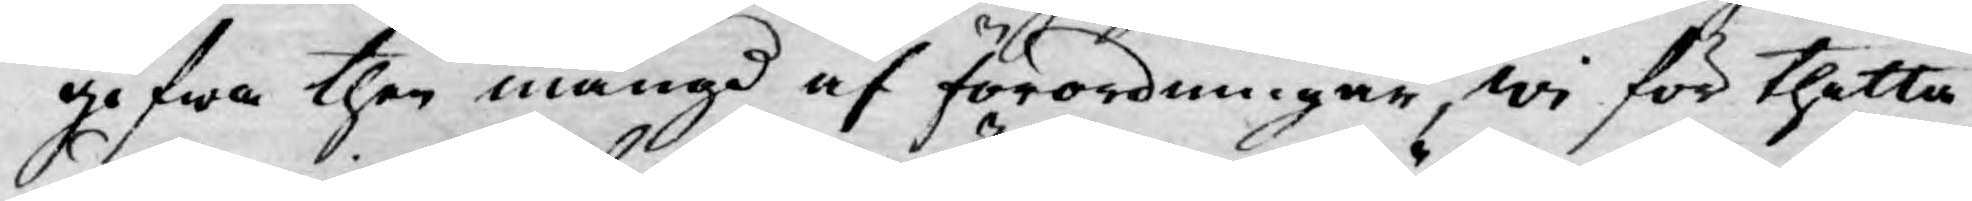gifwa then mängd af förordningar, wi för thetta
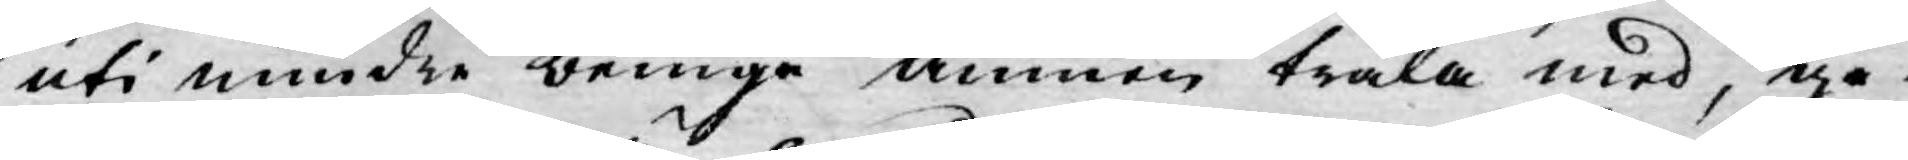uti mindre bringa ämnen träla med, ge¬
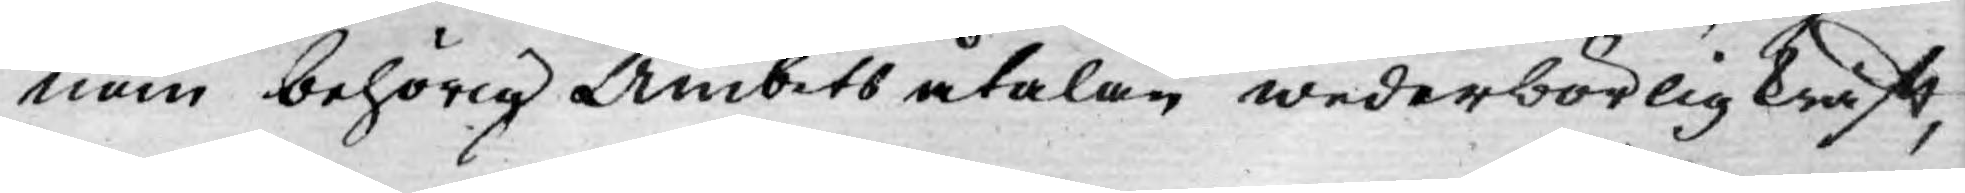nom behörig Ämbets åtalan wederbörlig krafft,
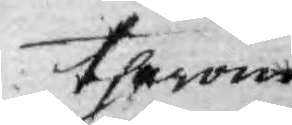therom
